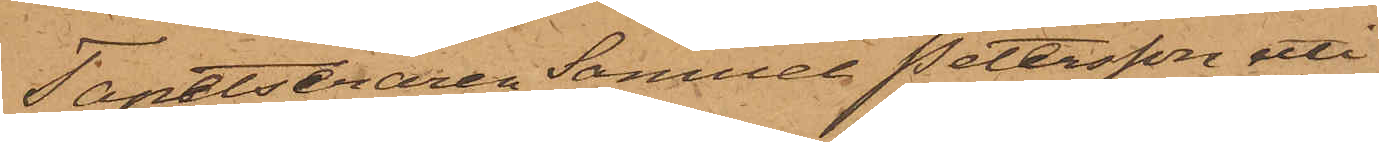Tapetseraren Samuel Petersson uti
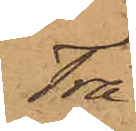Tra¬
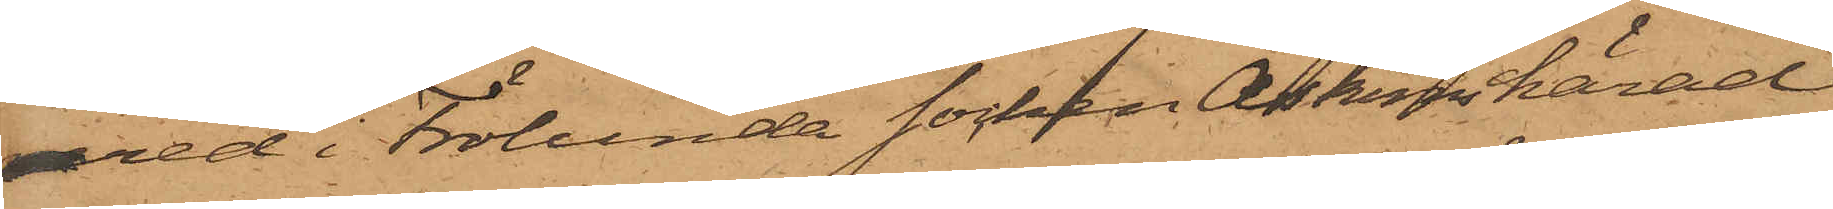nered i Frölunda socken Askims härad
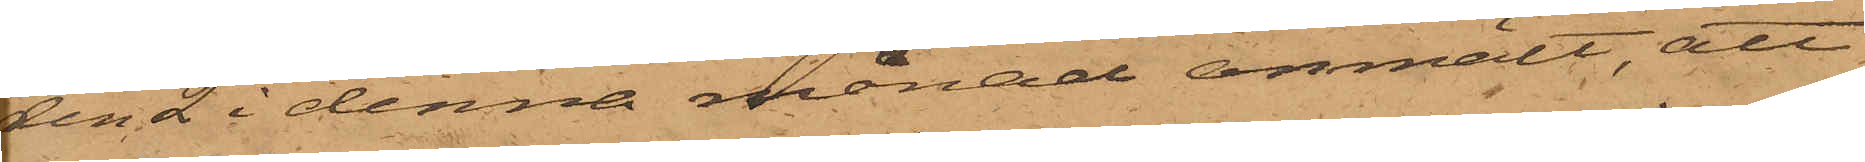den 2 i denna månad anmält, att
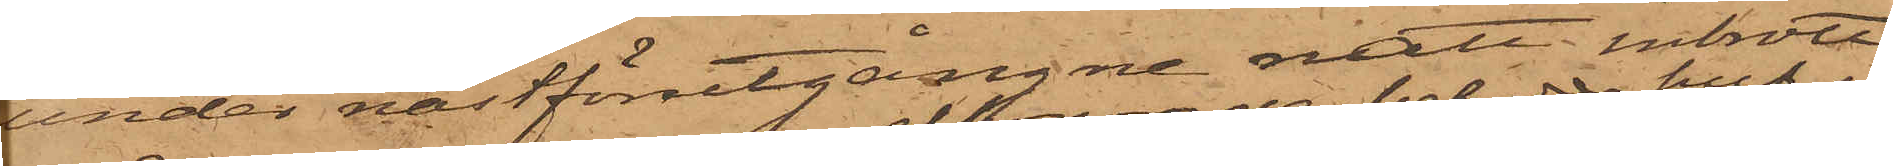under nästförutgångne natt inbrott
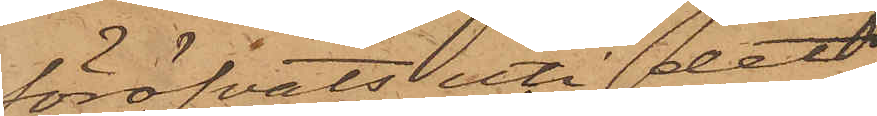föröfvats uti det
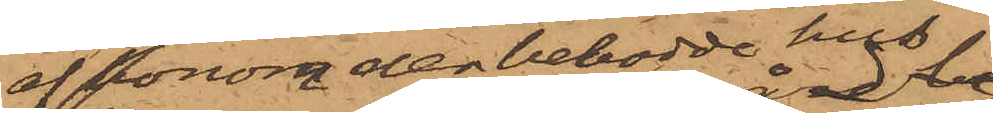af honom der bebodde hus 
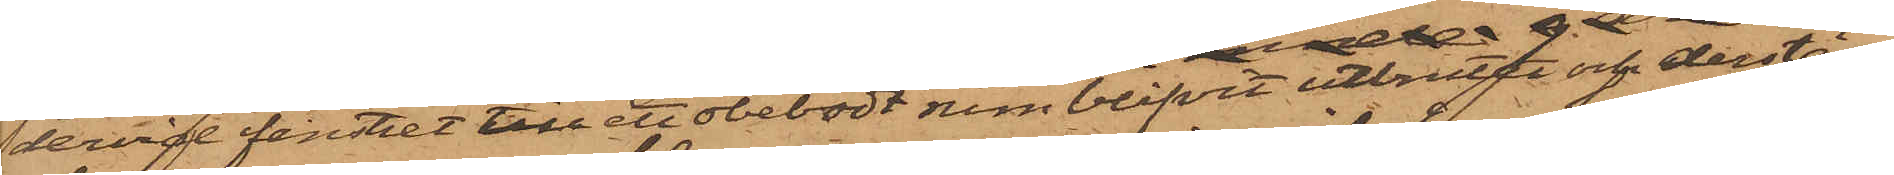dervid fenstret till ett obebodt rum blifvit utbrutet och derstädes
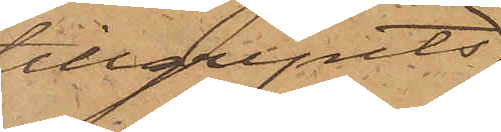tillgripits
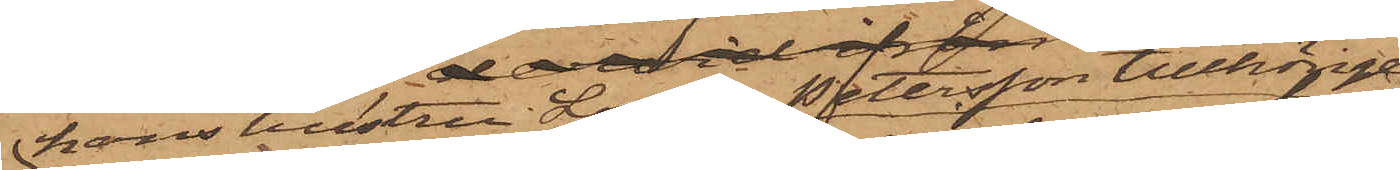hans hustru Lovisa Pettersson tillhörige
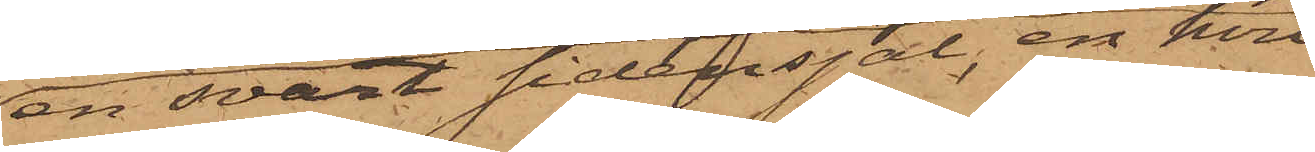en svart sidensjal, en hvit
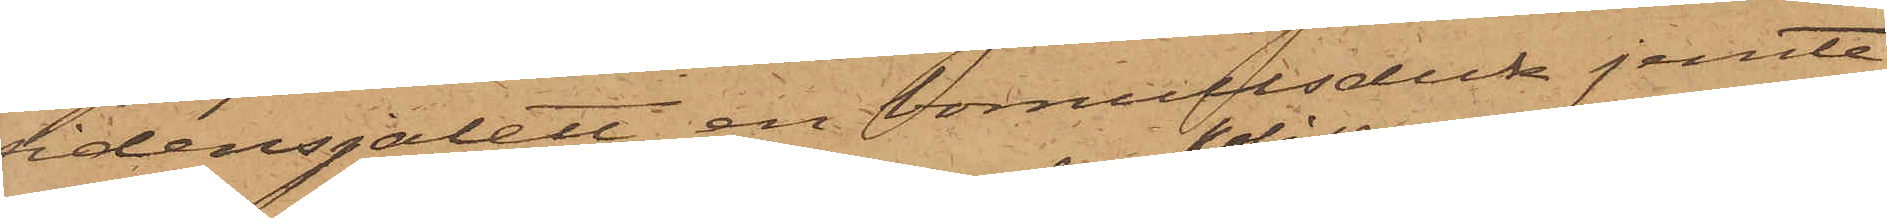sidensjalett, en bomullsduk jemte
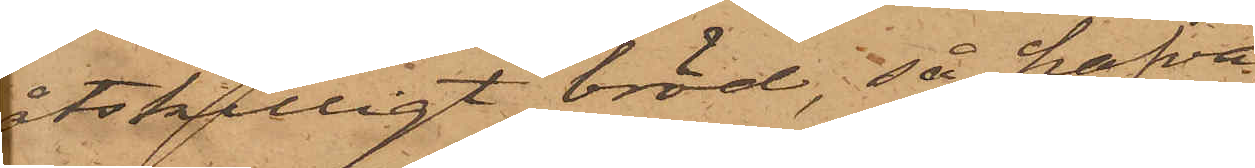åtskilligt bröd, så hafva
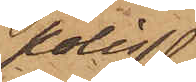polis¬
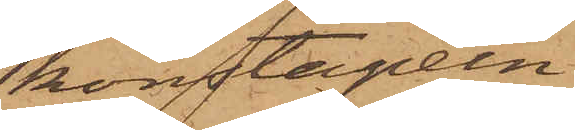konstapeln
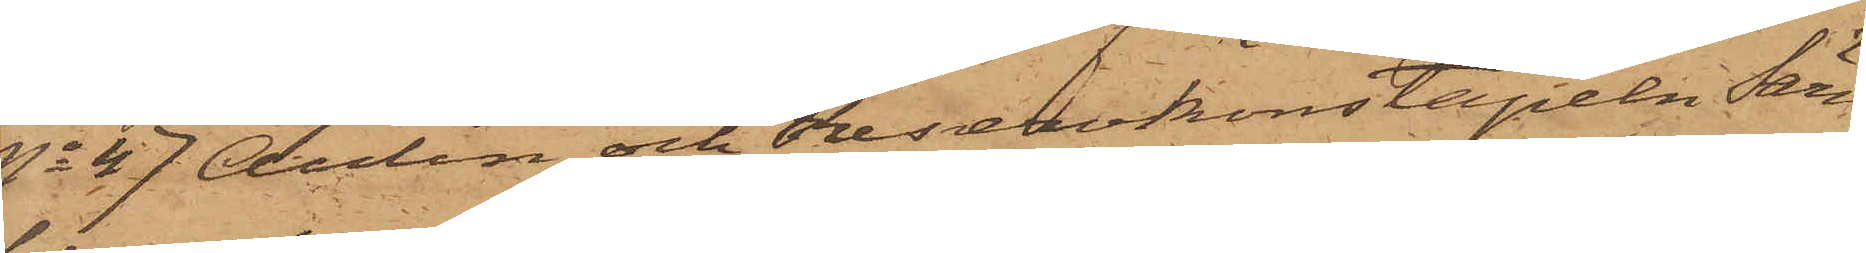No 47 Aulin och Reservkonstapeln Särn¬
